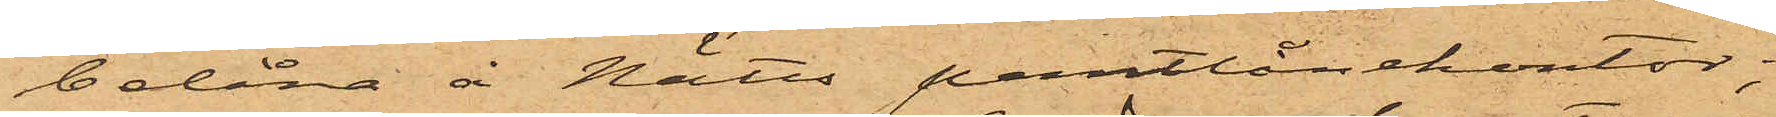belåna å Nätts pantlånekontor;
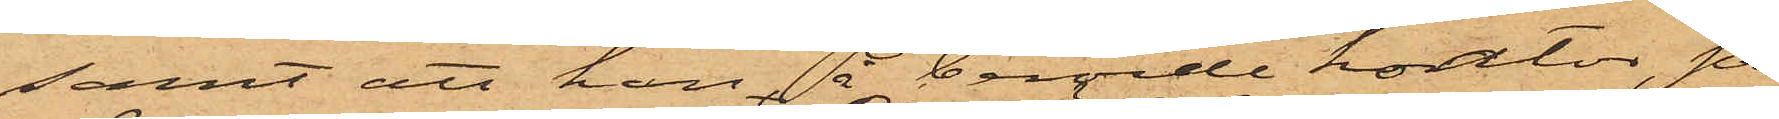samt att han å berörde kontor, på
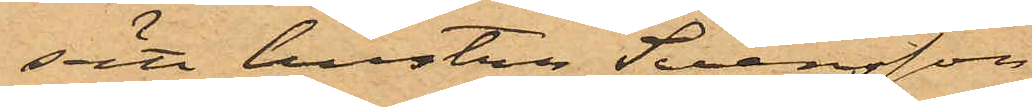sätt hustru Svensson
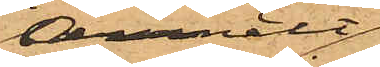anmält,
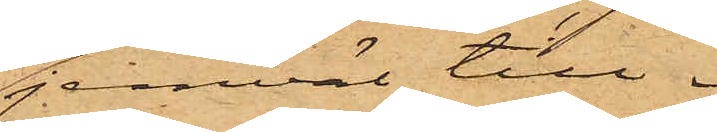jemväl till¬
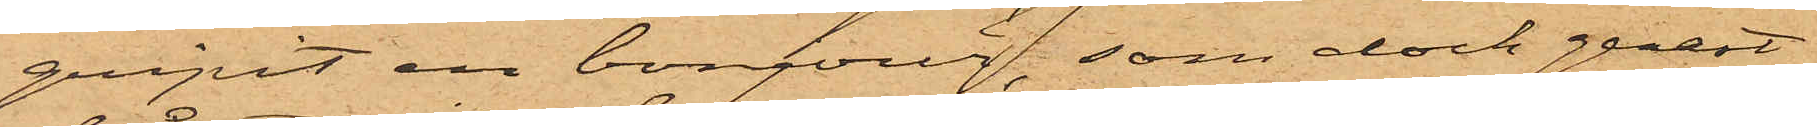gripit en bonjour, som dock genast
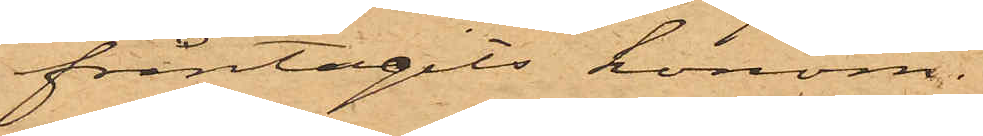fråntagits honom.
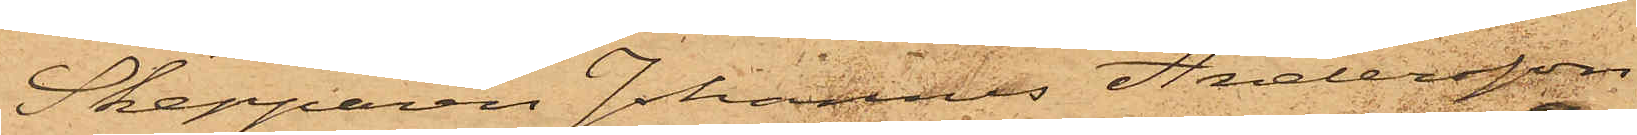Skepparen Johannes Andersson,
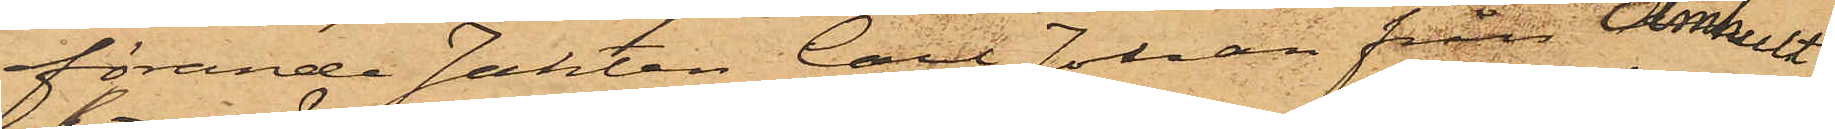förande Jakten Carl Johan från Almhult
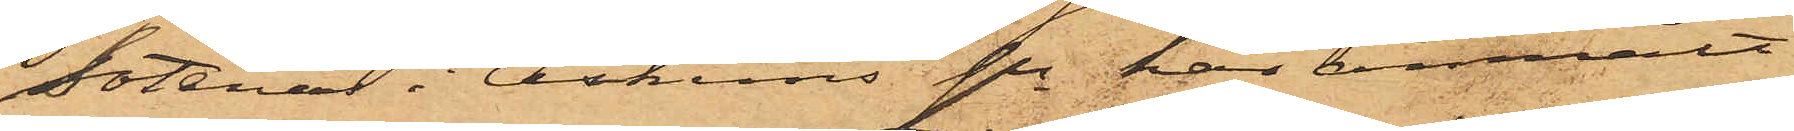Sotenäs i Askums sn har anmält
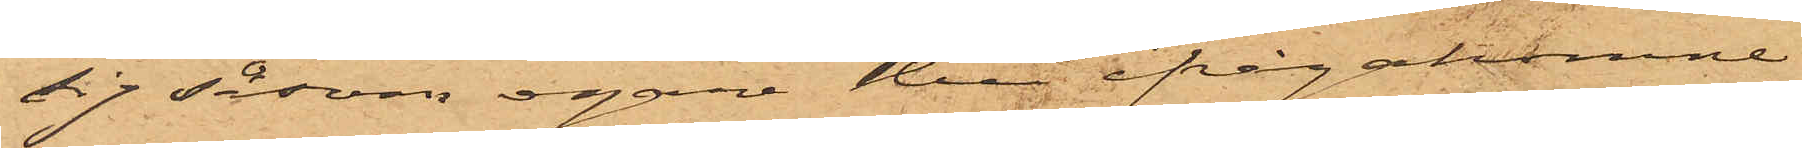sig såsom egare till ifrågakomne
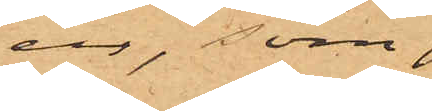ur, som
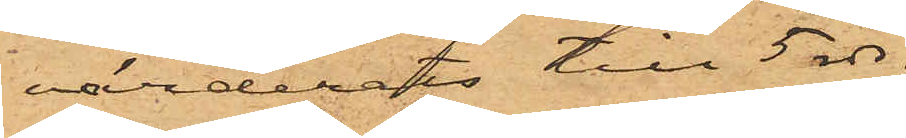värderats till 5 rdr.
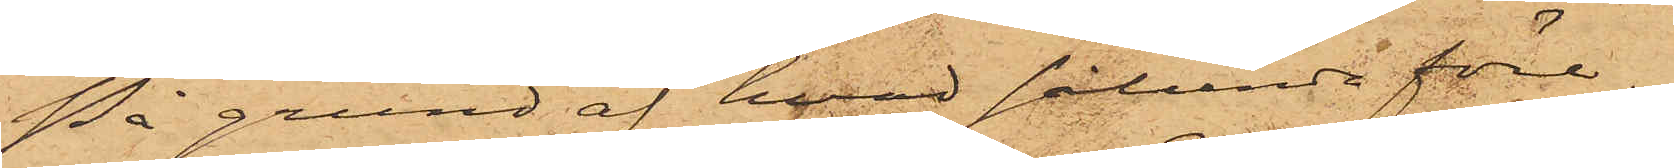På grund af hvad sålunda före¬
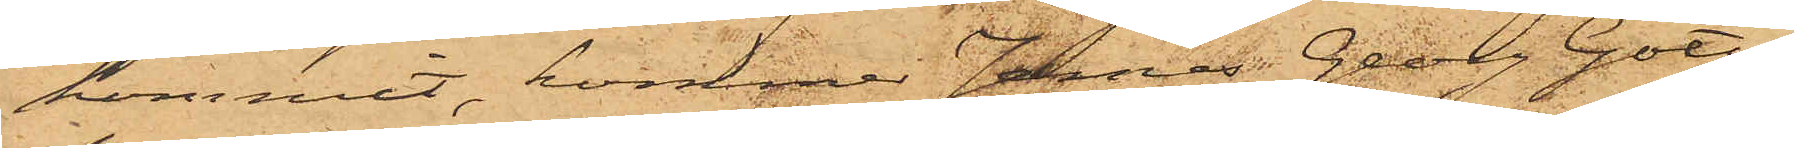kommit, kommer Jonas Georg Gott¬
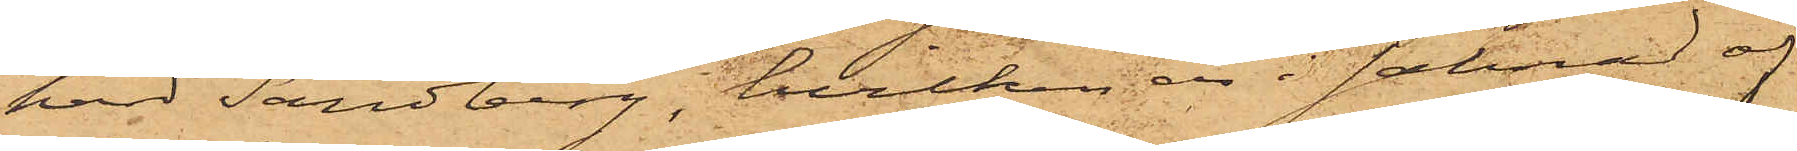hard Sandberg, hvilken är i saknad af
